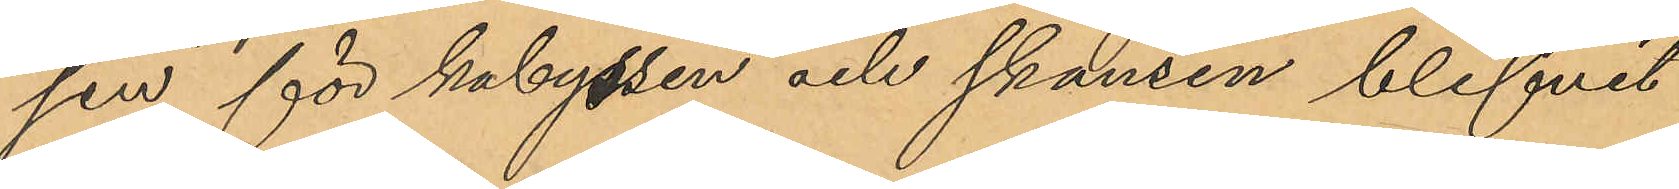sen för kabyssen och skansen blifvit
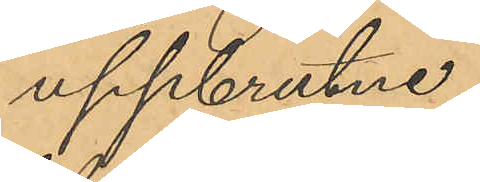uppbrutne.
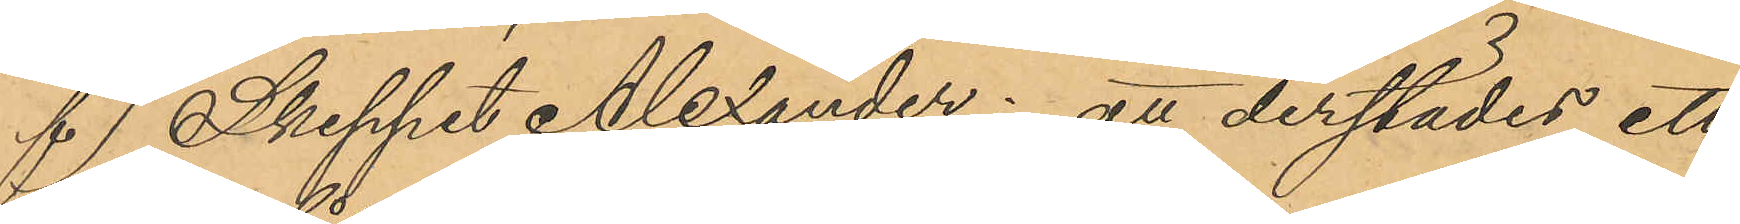f)  Skeppet Alexander: att derstädes ett
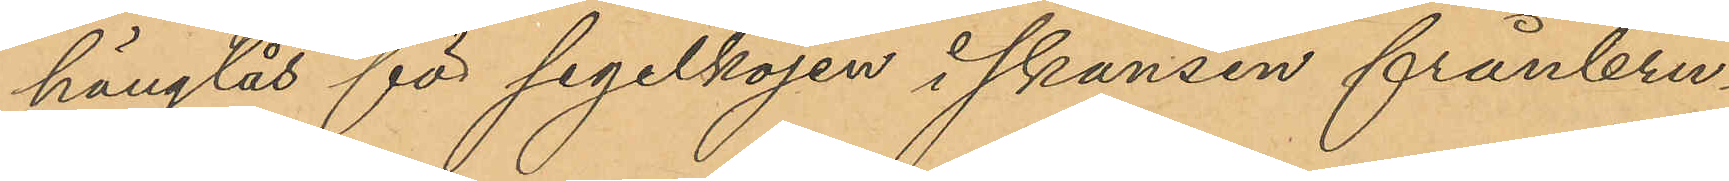hänglås för segelkojen i skansen frånbru¬
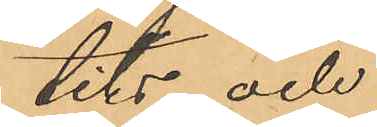tits och
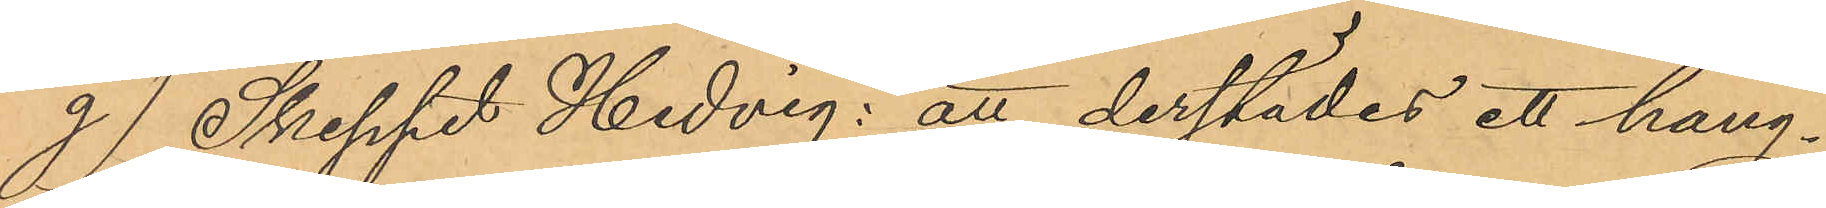g)  Skeppet Hedvig: att derstädes ett häng¬
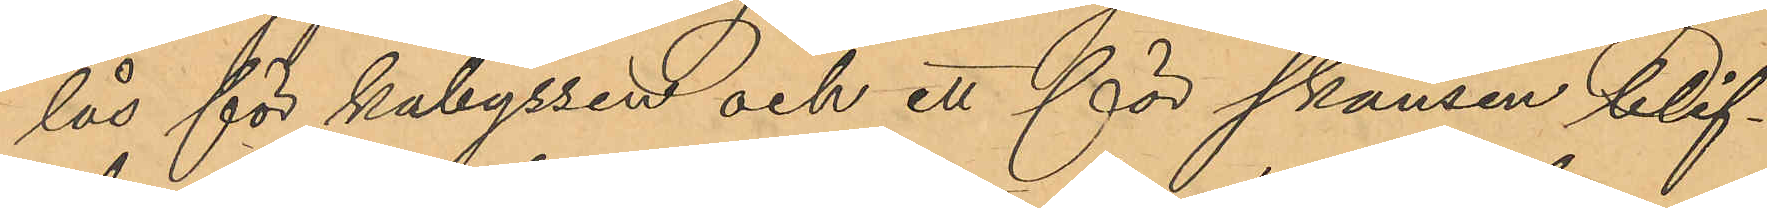lås för kabyssen och ett för skansen blif¬
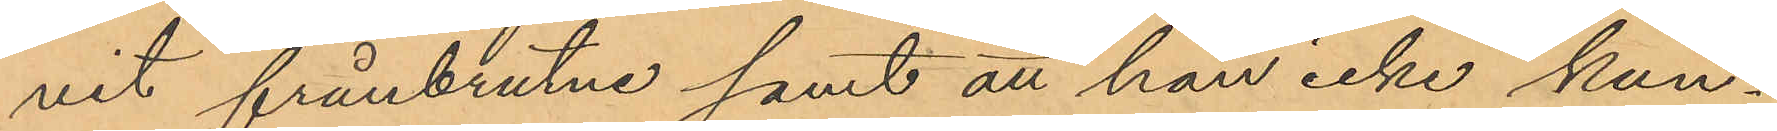vit frånbrutne samt att han icke kun¬
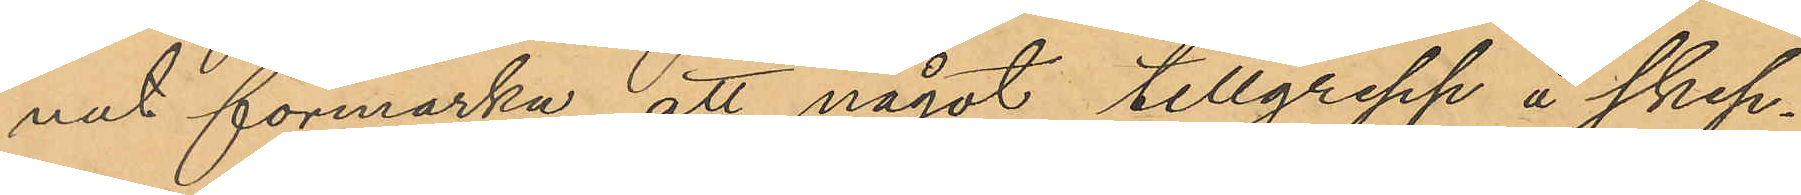nat förmärka att något tillgrepp å skep¬
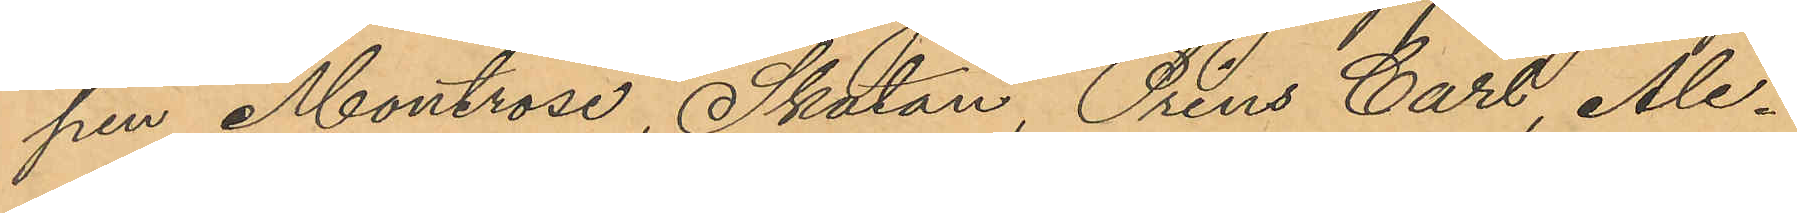pen Montrose, Skatan, Prins Carl, Ale¬
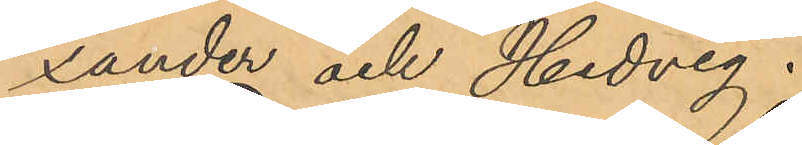xander och Hedvig.
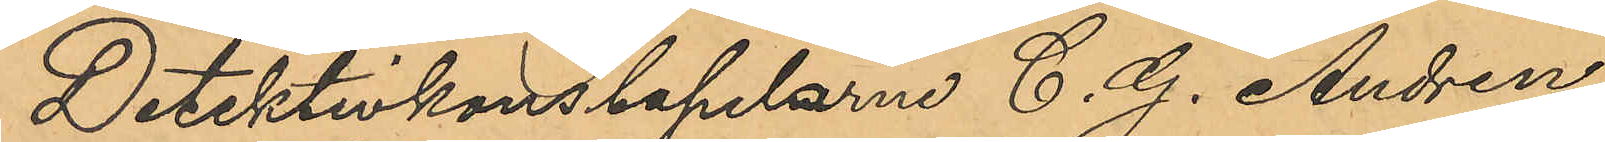Detektivkonstaplarne C. G. Andrén
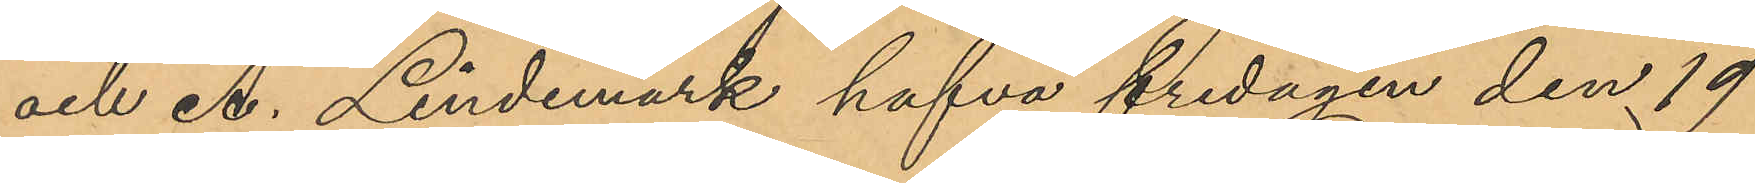och A. Lindemark hafva fredagen den 19
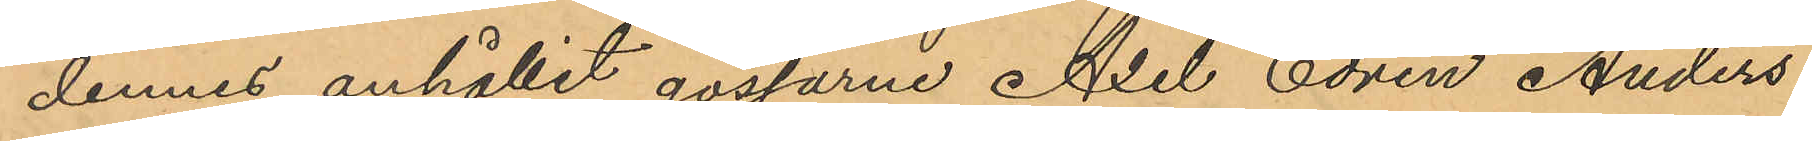dennes anhållit gossarne Axel Edvin Anders¬
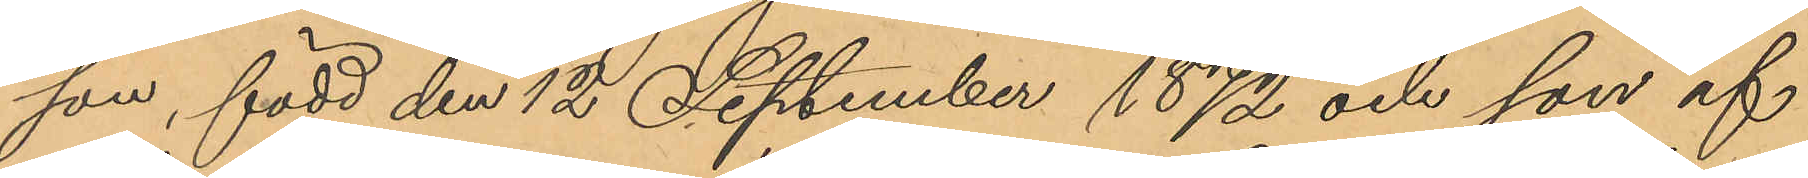son, född den 12 September 1872 och son af
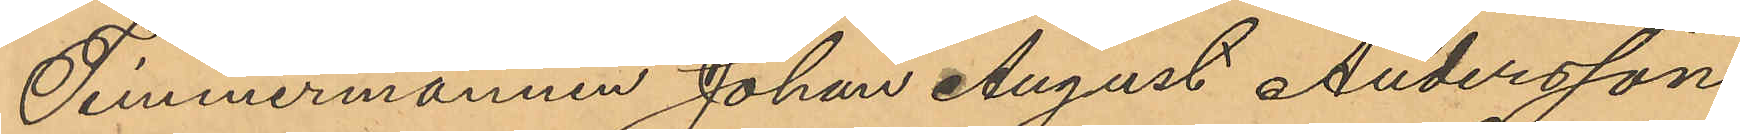Timmermannen Johan August Andersson,
